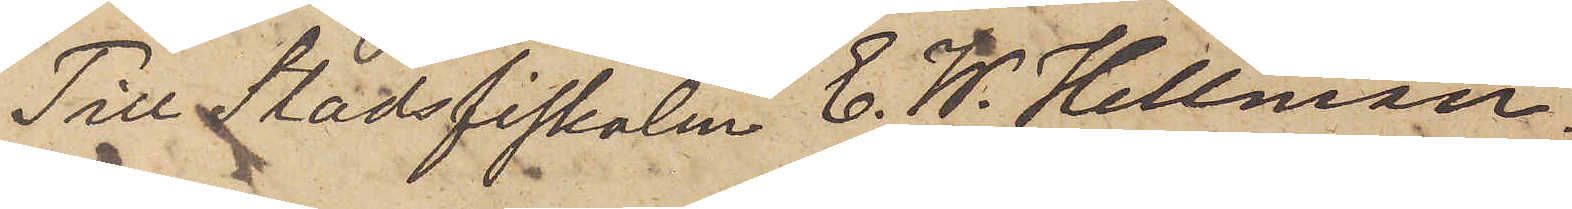Till Stadsfiskalen C. W. Hellman.
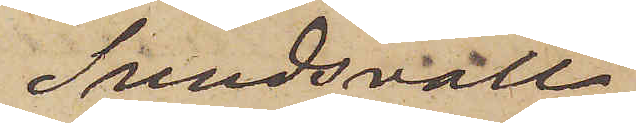Sundsvall.
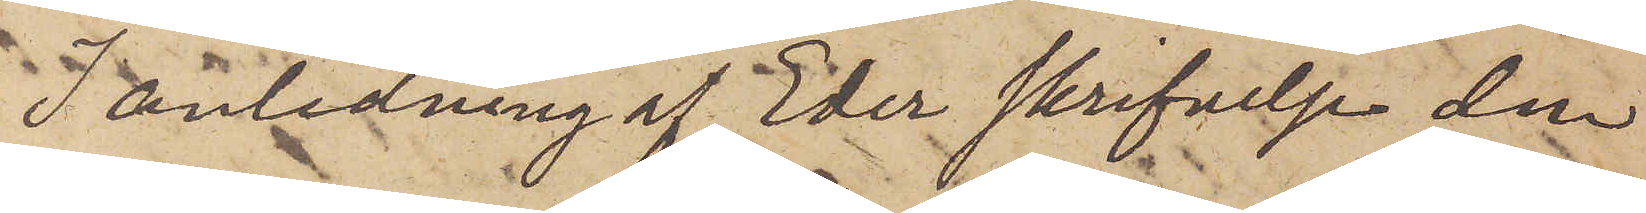I anledning af Eder skrifvelse den
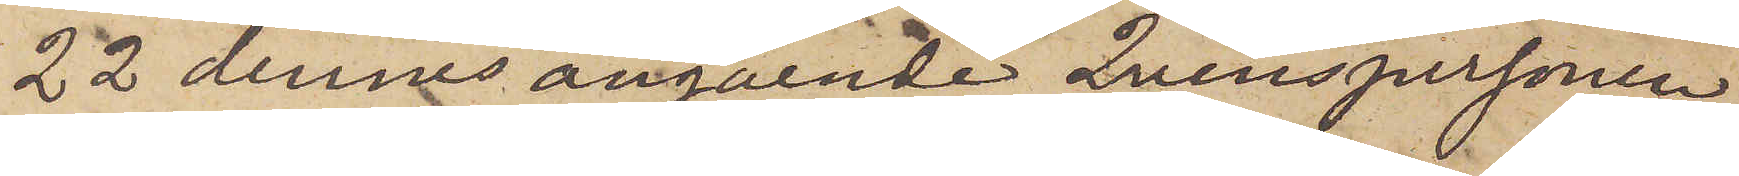22 dennes angående Qvinspersonen
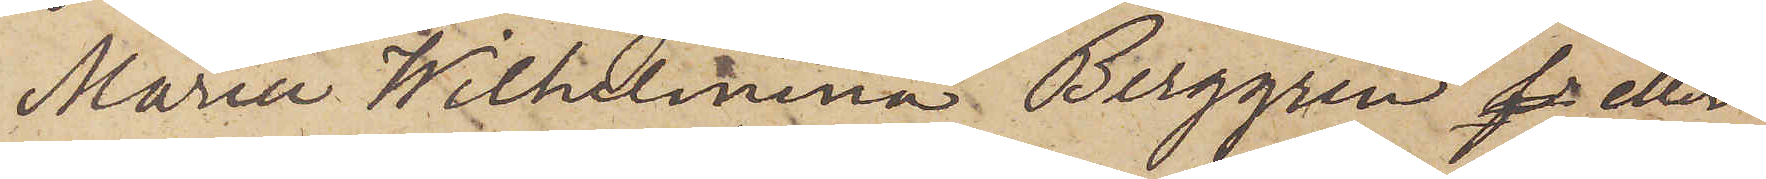Maria Wilhelmina Berggren eller
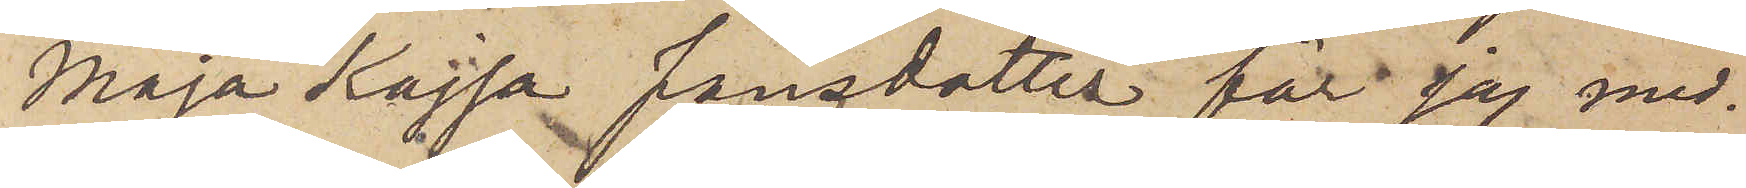Maja Kajsa Jansdotter får jag med¬
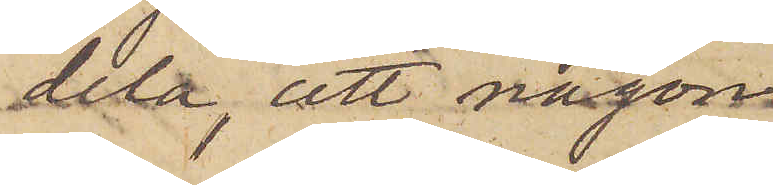dela, att någon
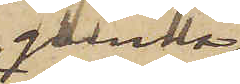qvinna
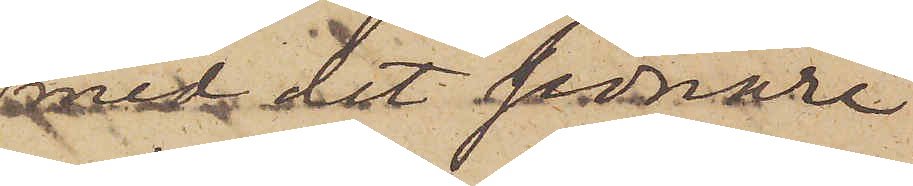med det senare
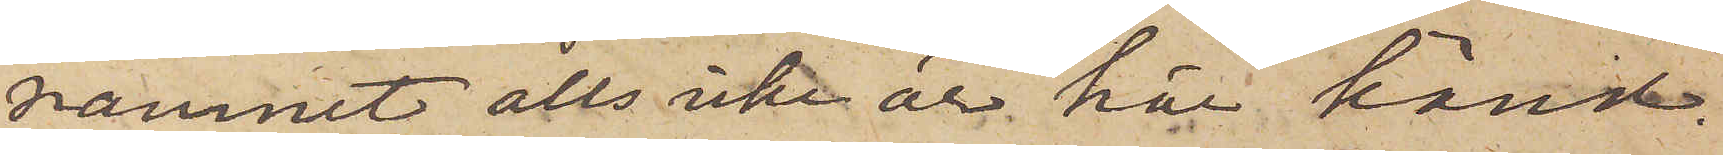namnet alls icke är här känd.
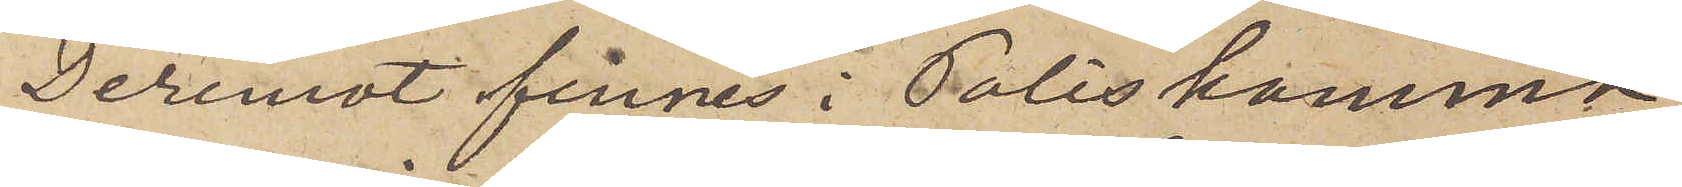Deremot finnes i Poliskamma¬
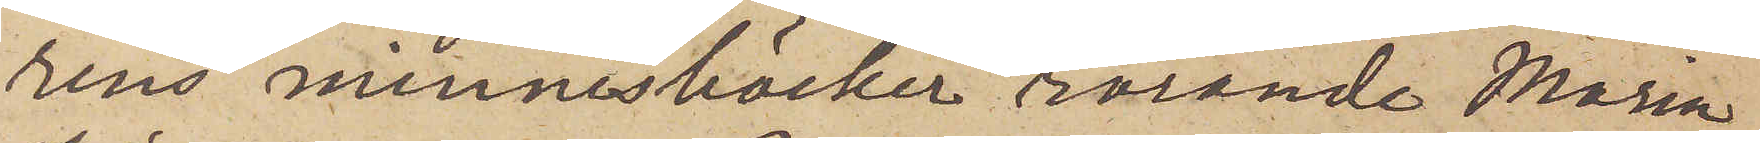rens minnesböcker rörande Maria
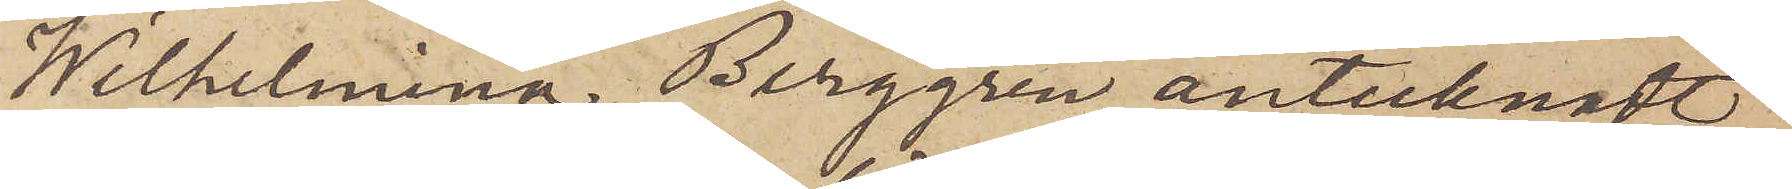Wilhelmina Berggren antecknadt
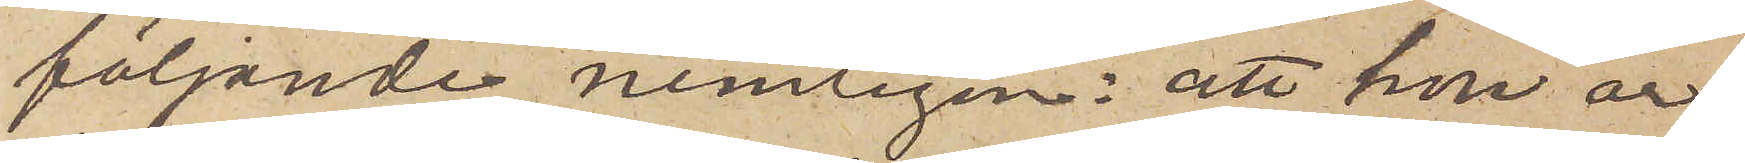följande, nemligen: att hon är
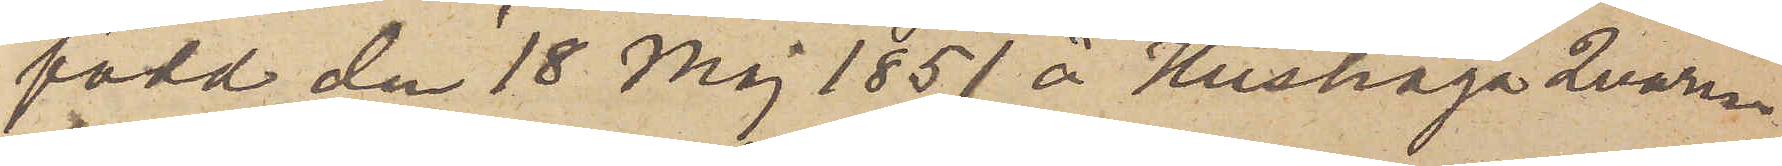född den 18 Maj 1851 å Hushaga Qvarn¬
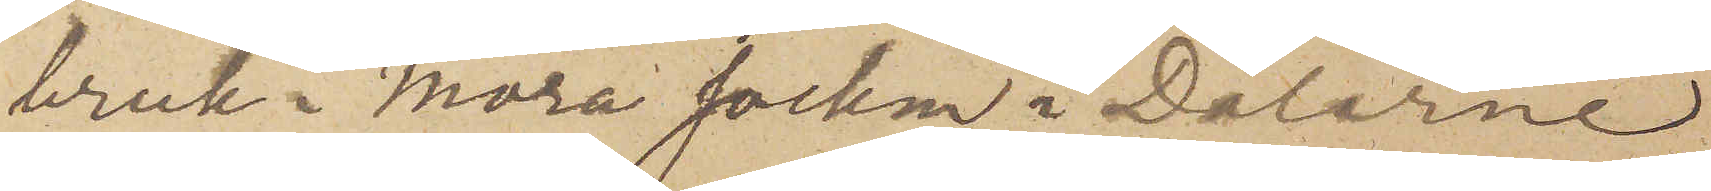bruk i Mora socken i Dalarne
